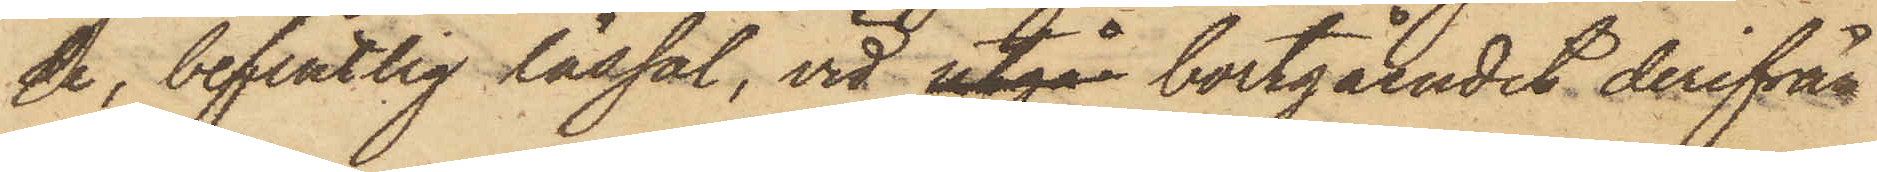de, befintlig lässal, vid utgå bortgåendet derifrån
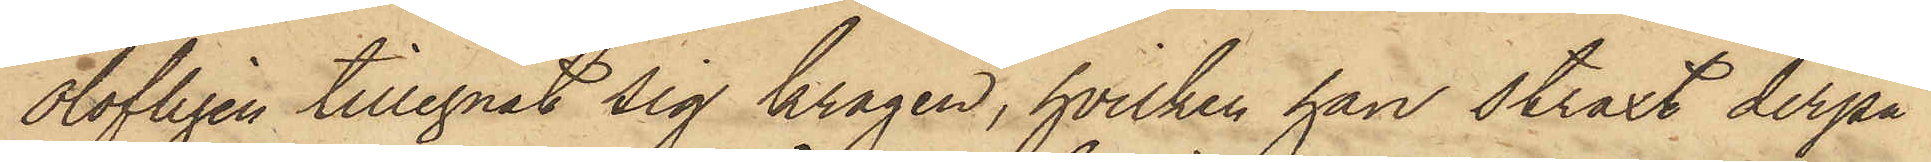olofligen tillegnat sig kragen, hvilken han straxt derpå
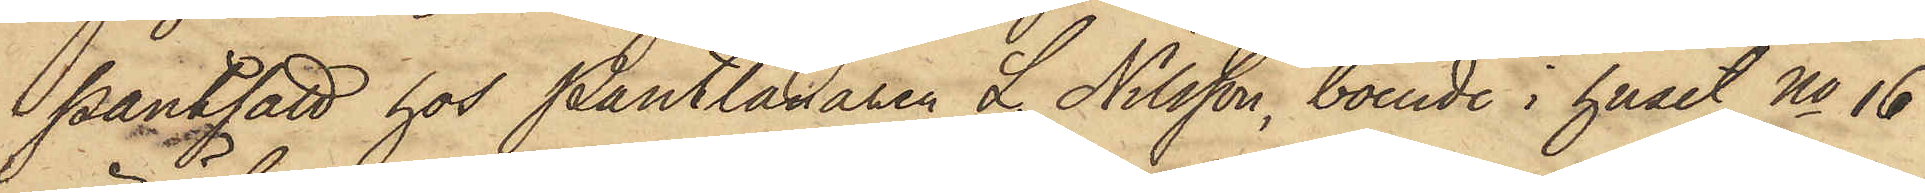pantsatt hos Pantlånaren L. Nilsson, boende i huset No 16
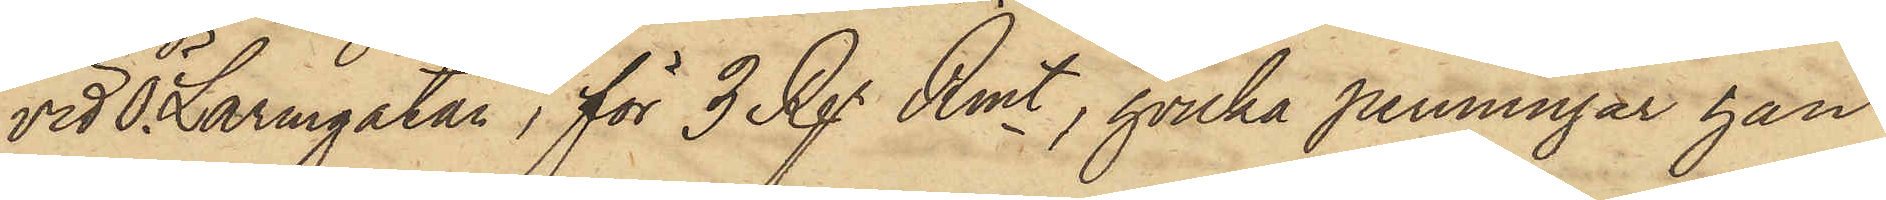vid Ö. Larmgatan, för 3 Rgr Rmt, hvilka penningar han
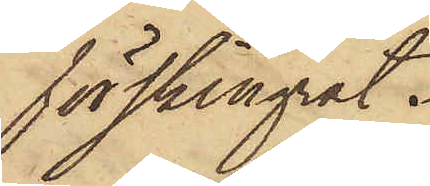förskingat.
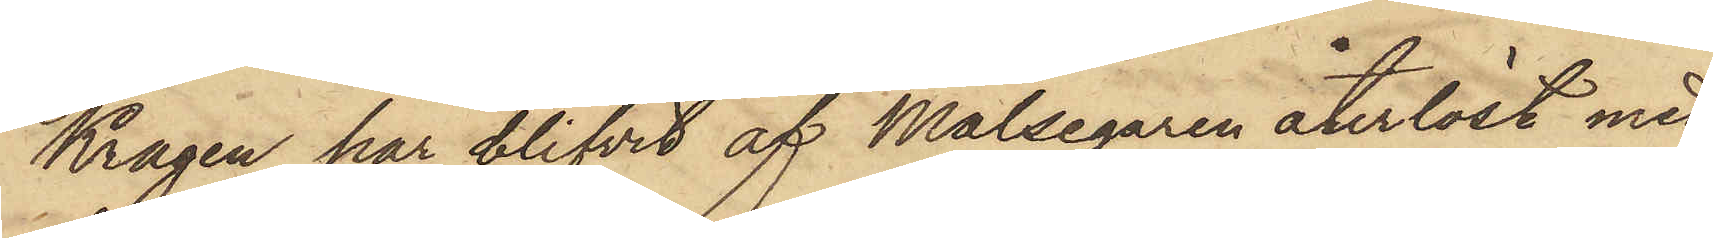Kragen har blifvit af Målsegaren återlöst med
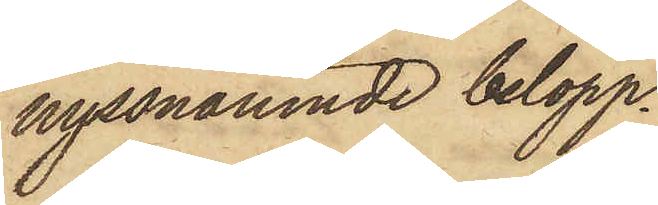nyssnämnde belopp.
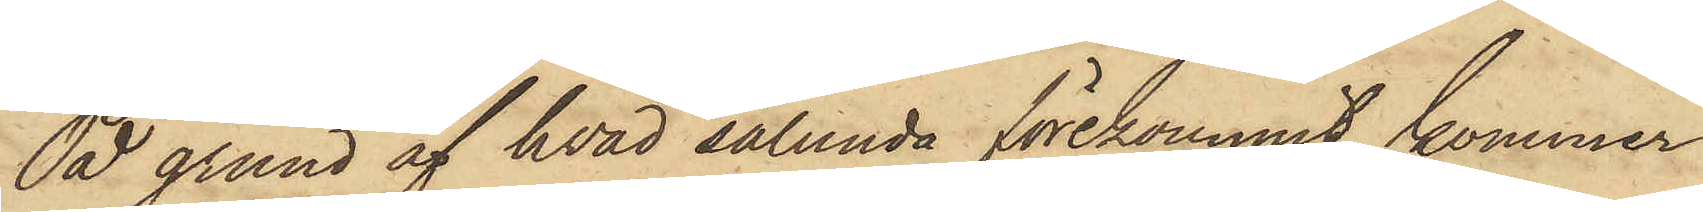På grund af hvad sålunda förekommit, kommer
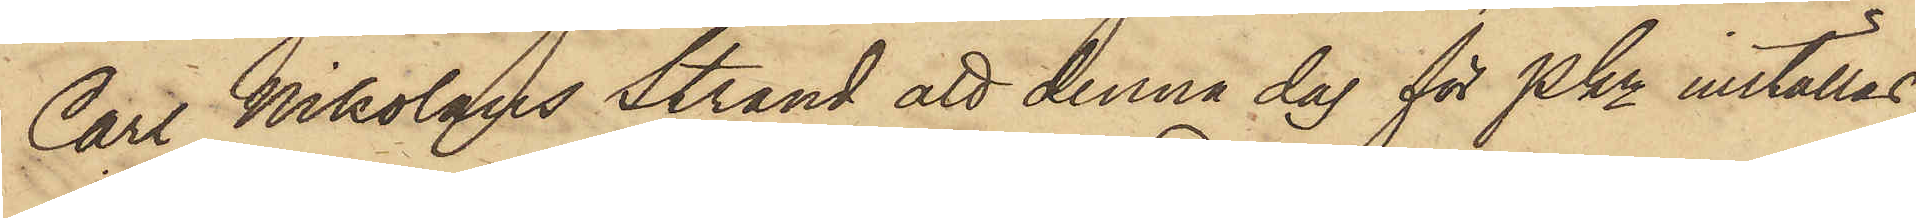Carl Nikolaus Strand att denna dag för PKn inställas.
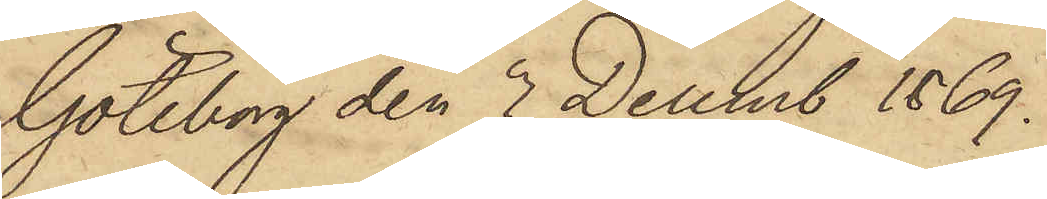Göteborg den 3 Decemb 1869.
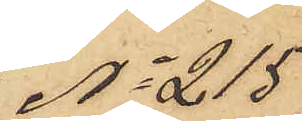No 215
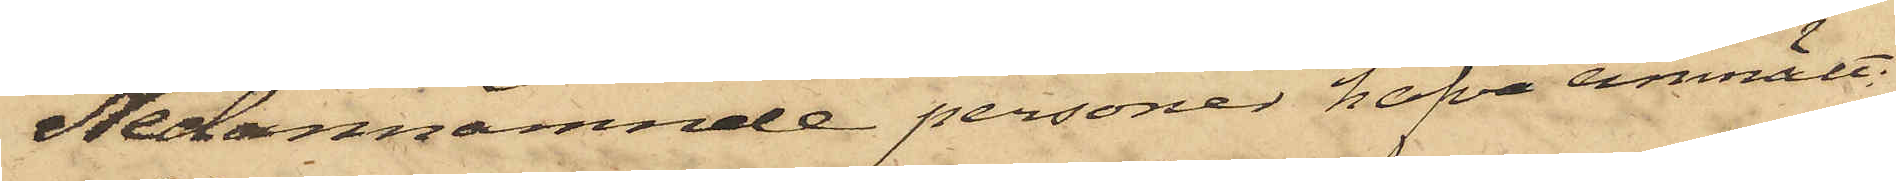Nedannämnde personer hafva anmält.
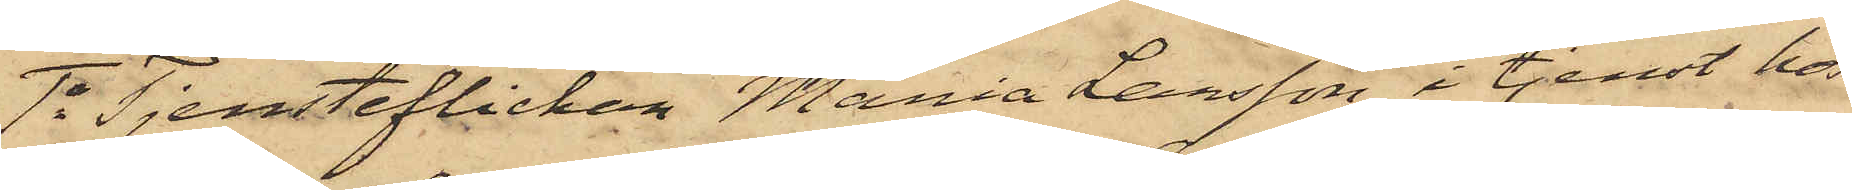1o Tjensteflickan Maria Larsson, i tjenst hos
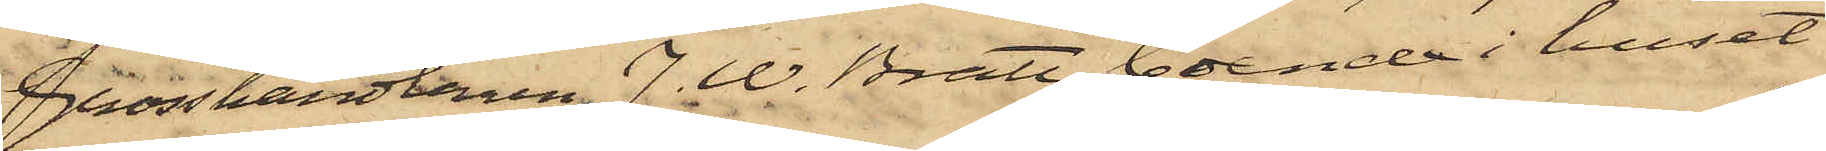Grosshandlaren J. W. Bratt, boende i huset
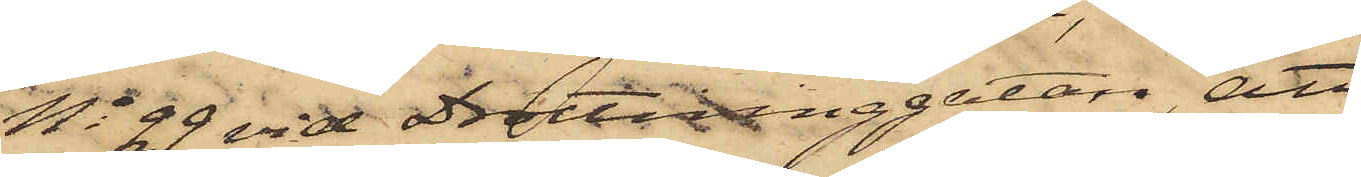No 29 vid Drottninggatan, att
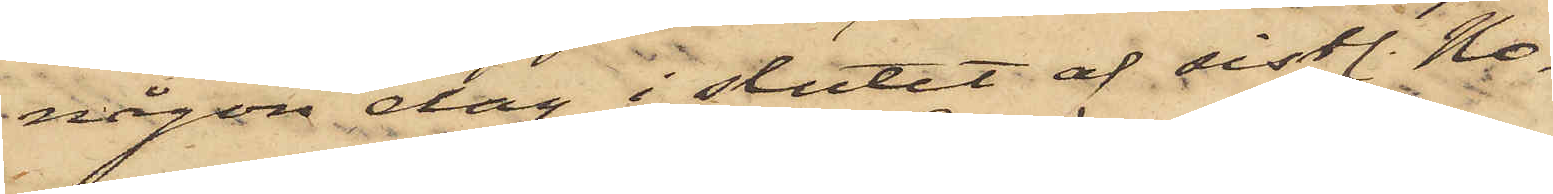någon dag i slutet af sistl. No¬
